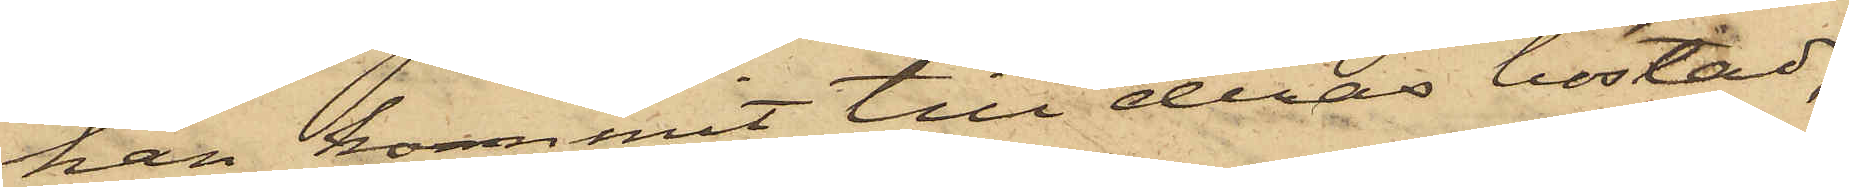han kommit till deras bostad,
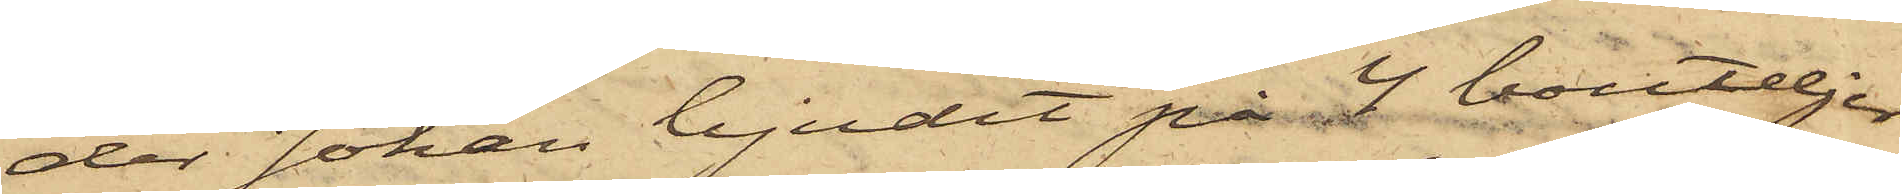der Johan bjudit på 4 bouteljer
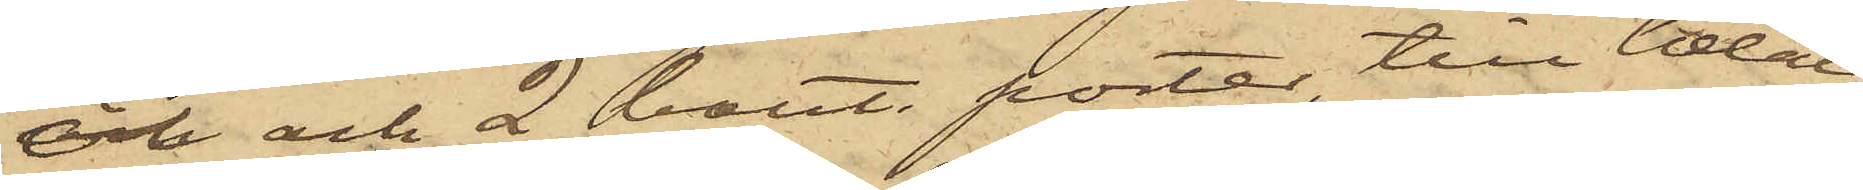öl och och 2 bout. porter, till betal¬
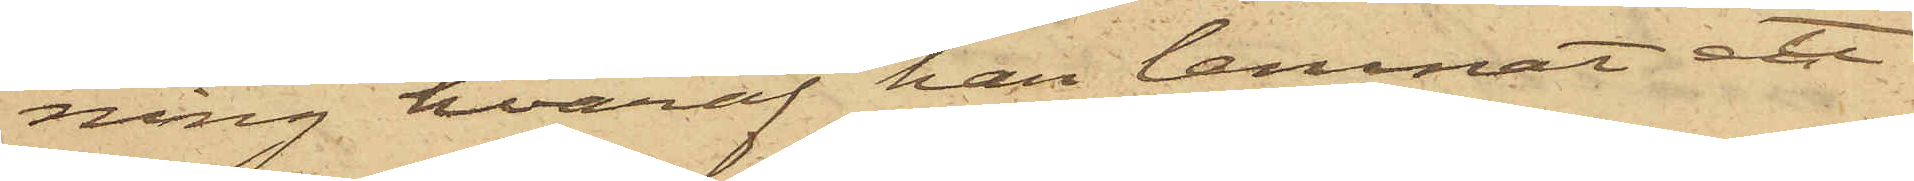ning hvaraf han lemnat ett
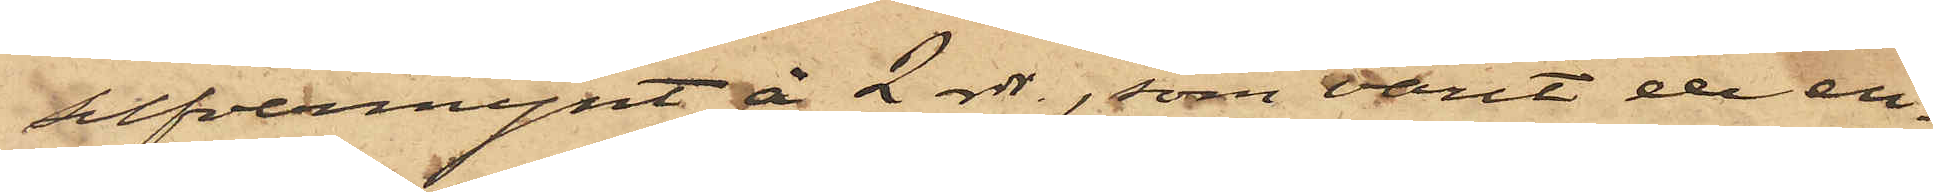silfvermynt å 2 rdr., som varit de en¬
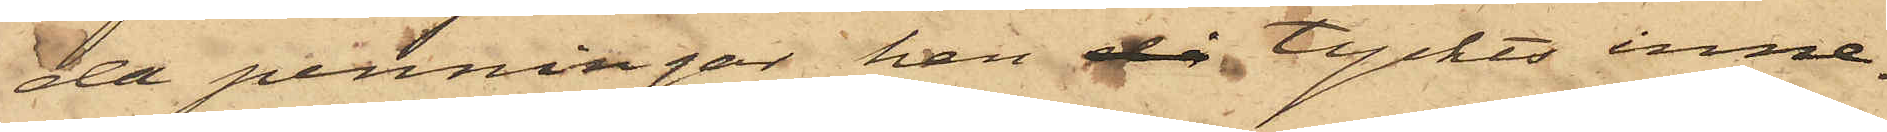da penningar han då tyckts inne¬
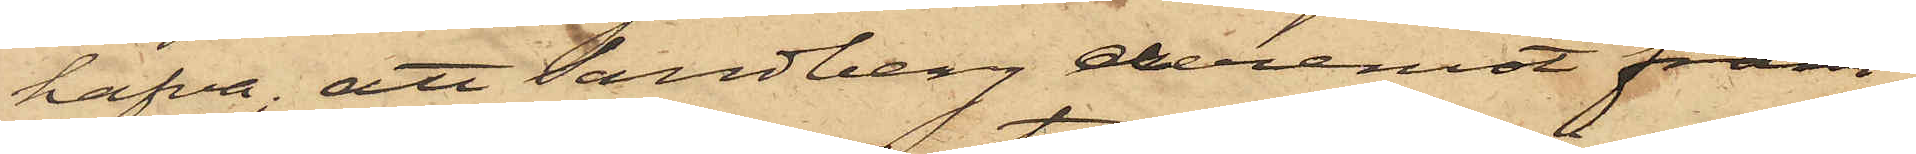hafva; att Sandberg deremot fram¬
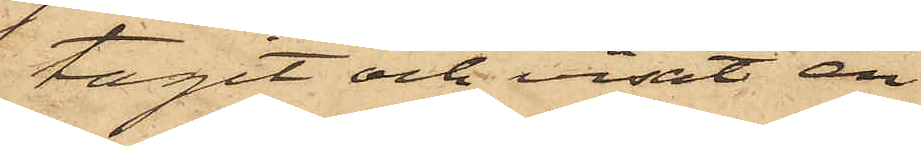tagit och visat en
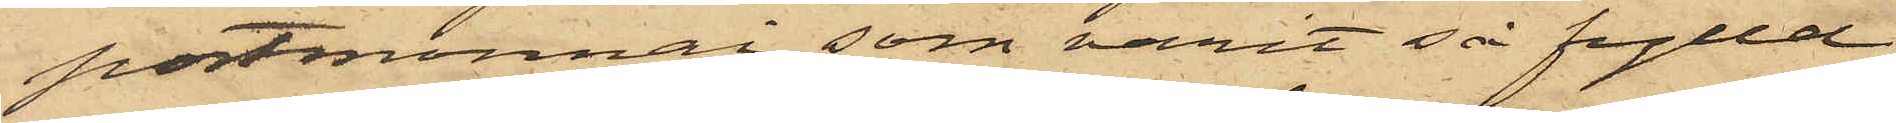portmonnai, som varit så fylld
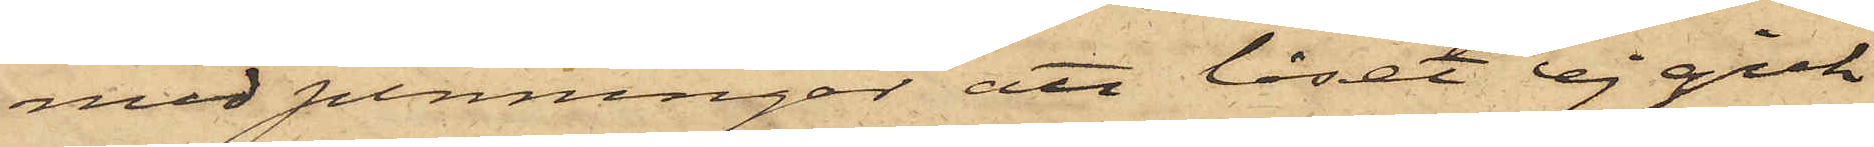med penningar att låset ej gick
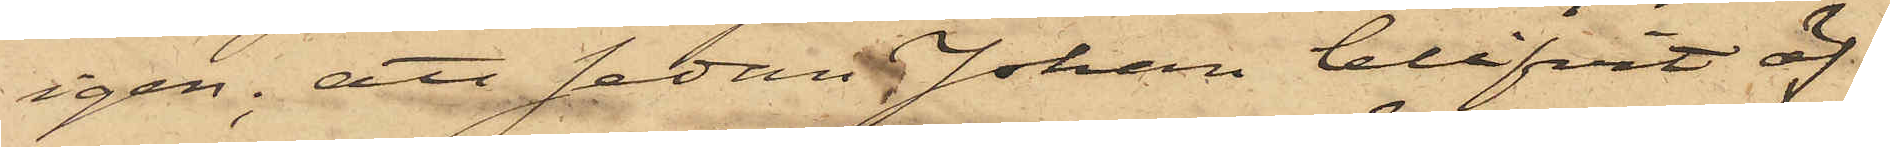igen; att sedan Johan blifvit öf¬
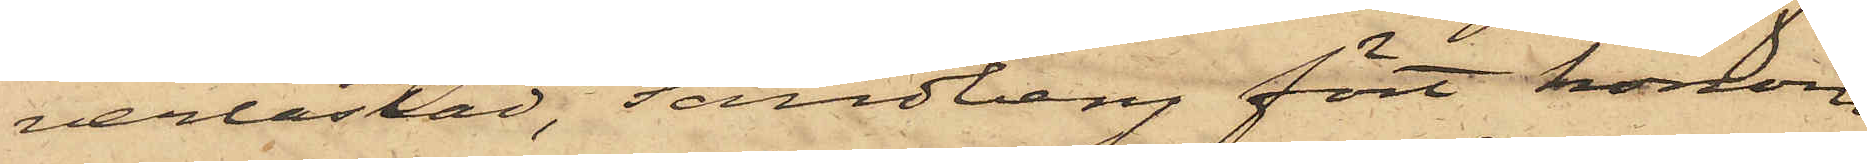verlastad, Sandberg fört honom
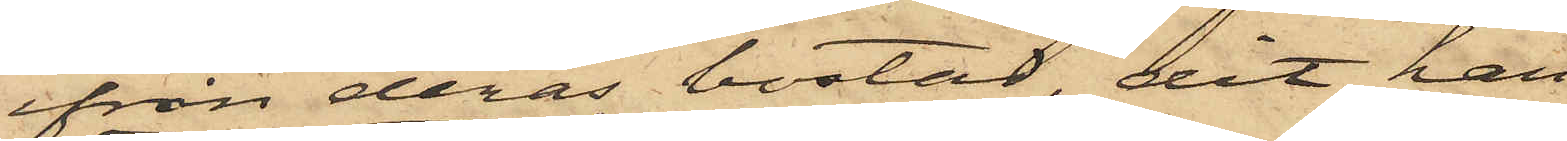ifrån deras bostad, dit han
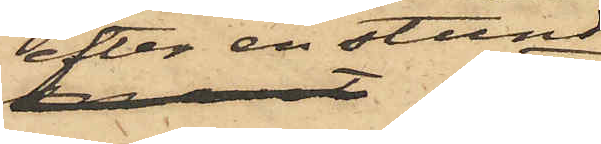efter en stund
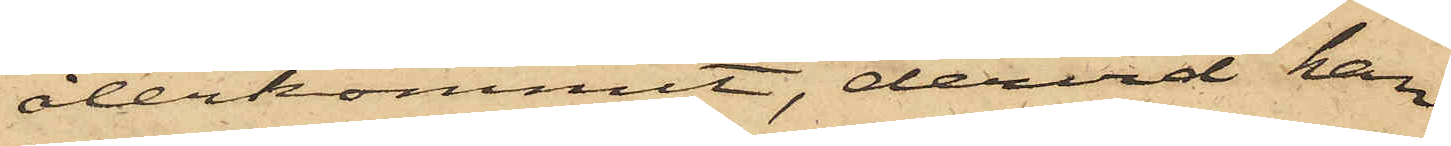återkommit, dervid han
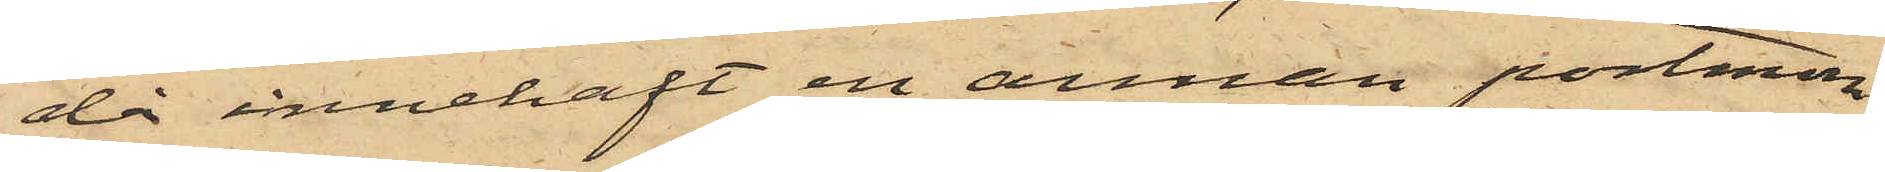då innehaft en annan portmon¬
